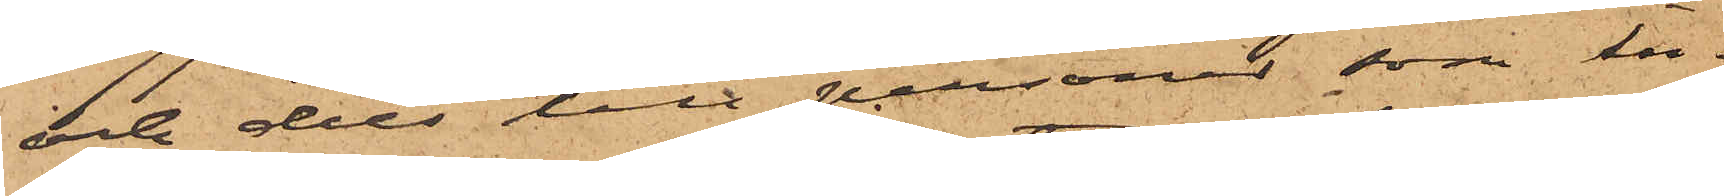och dels att till personer, som in¬
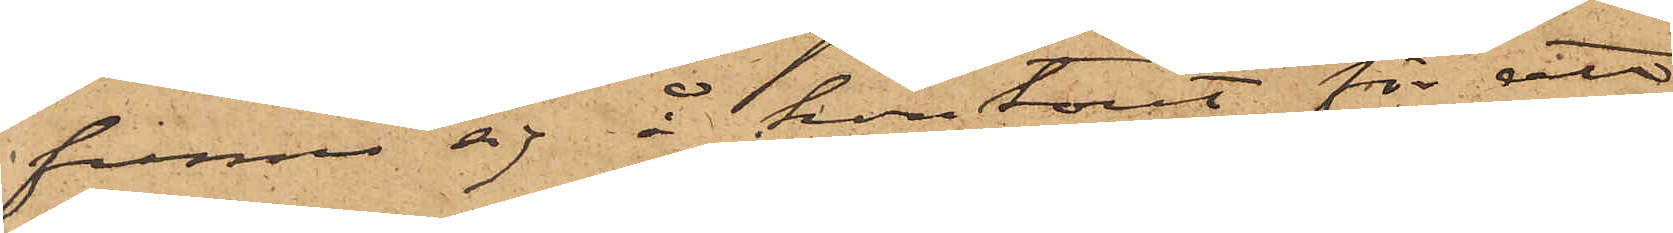finna sig å kontoret för att
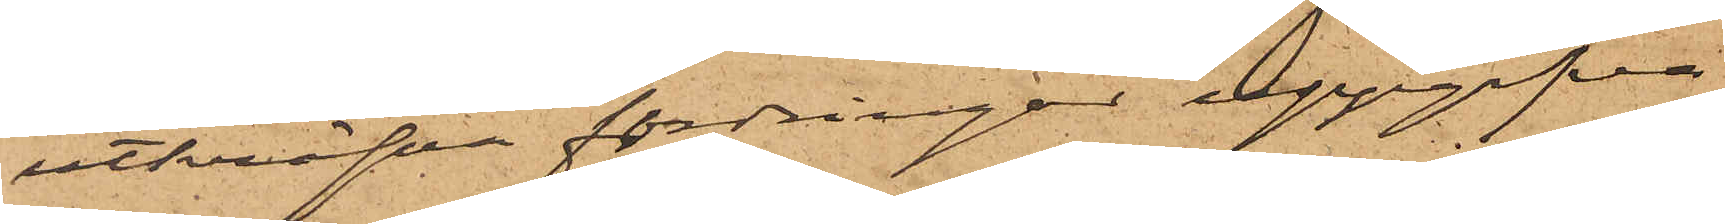utkräfva fordringar uppgifva
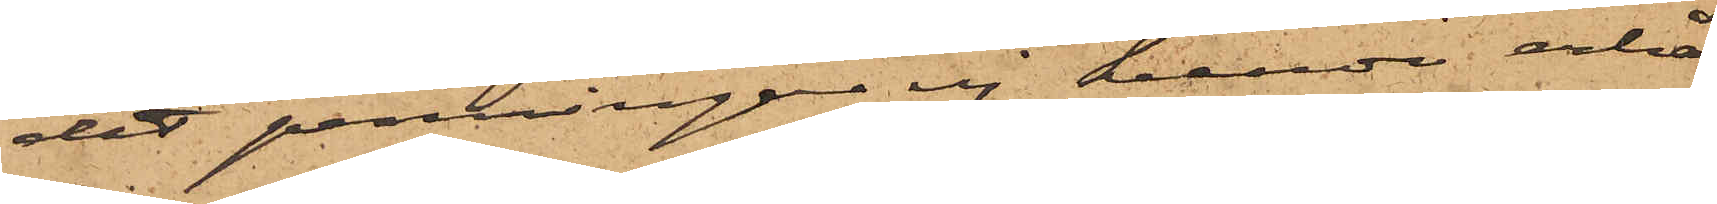det penningar ej kunde erhål¬
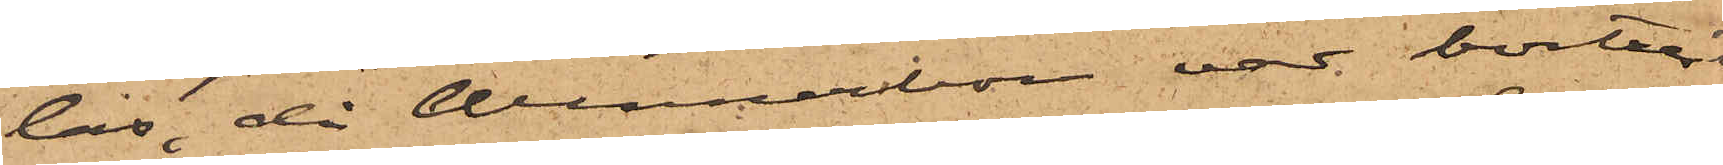las, då Wennerbom var bortrest;
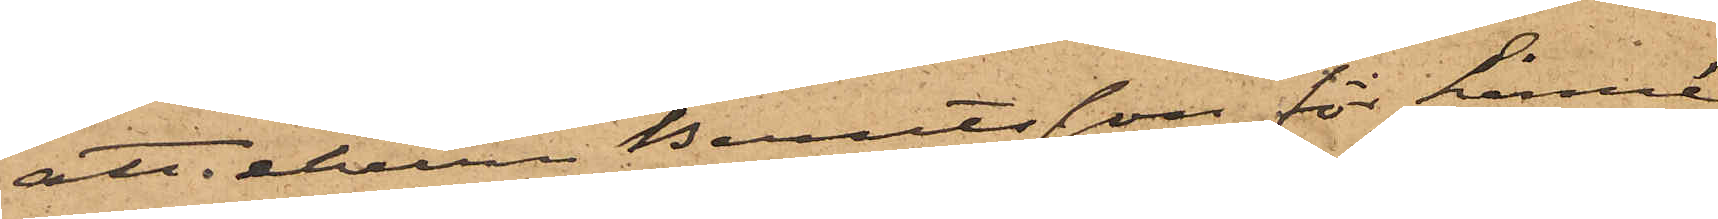att ehuru Berntsson för Linné
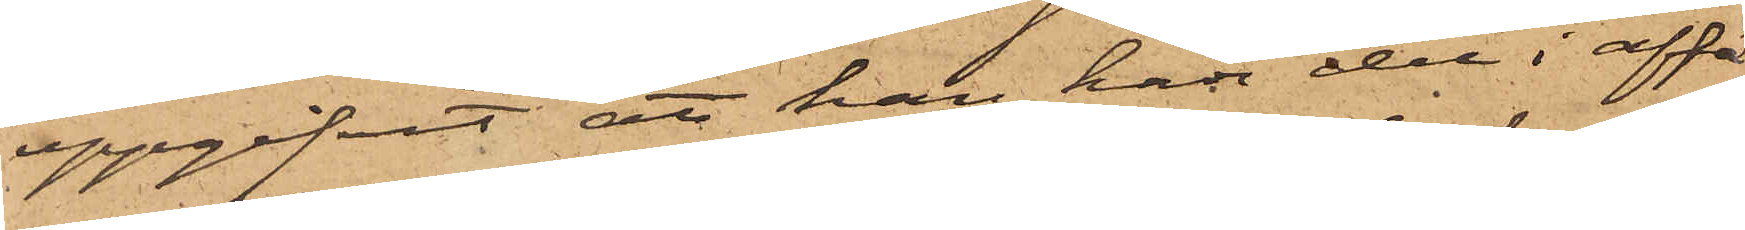uppgifvit att han har del i affä¬
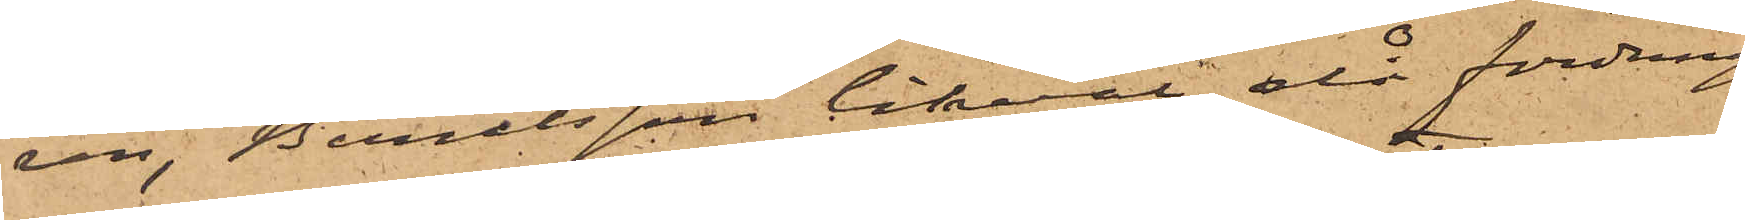ren, Berntsson likaväl då fordring(¬
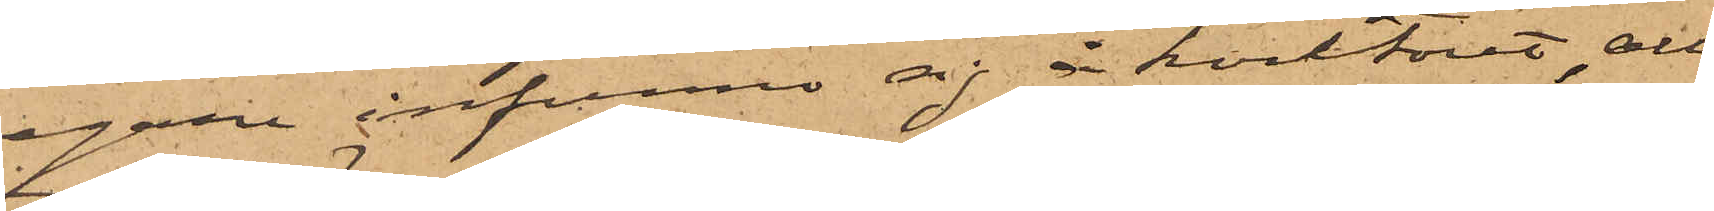egare infunno sig å kontoret, all¬
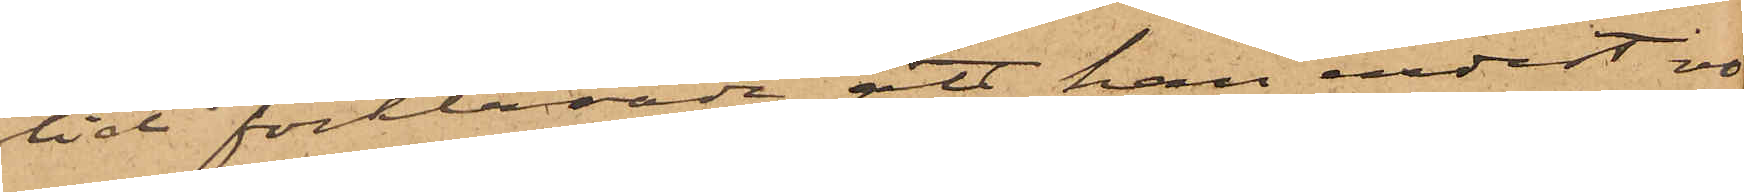tid förklarade att han endast vo¬
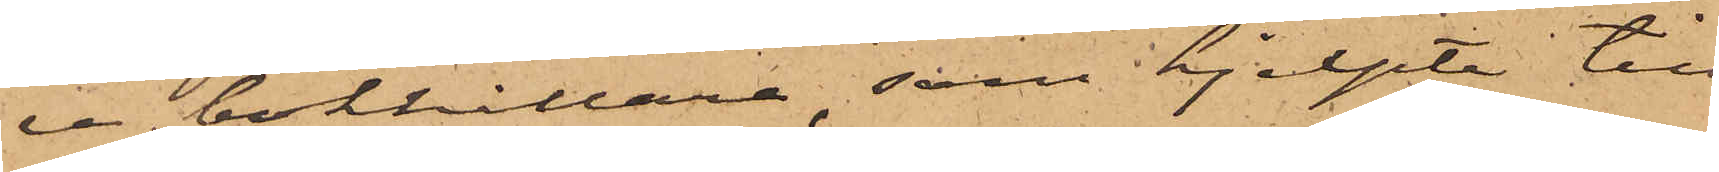re bokhållare, som "hjelpte till
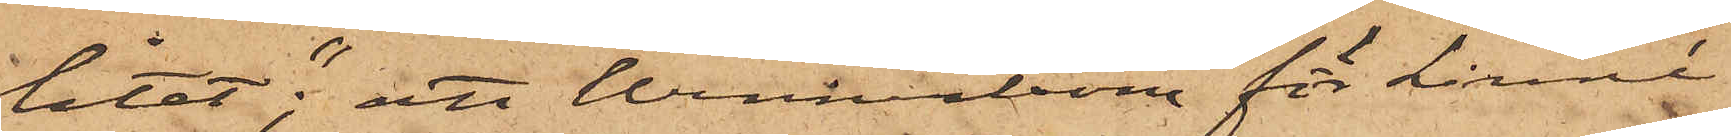litet"; att Wennerbom för Linné
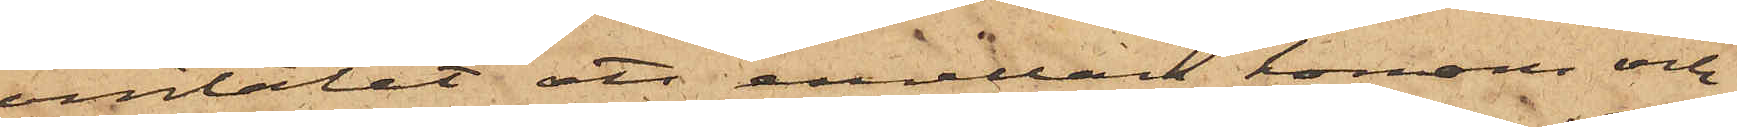omtalat att emellan honom och
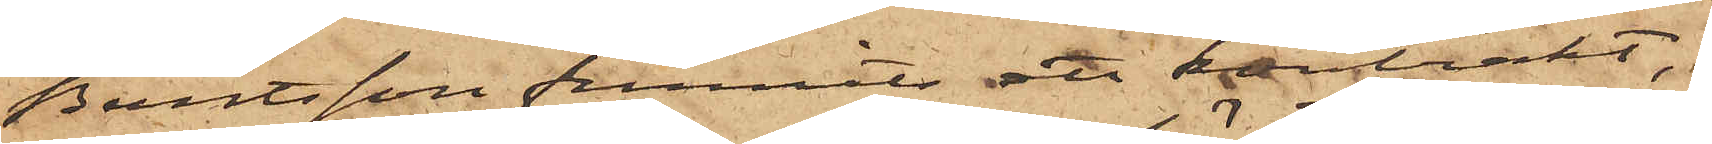Berntsson funnits ett kontrakt,
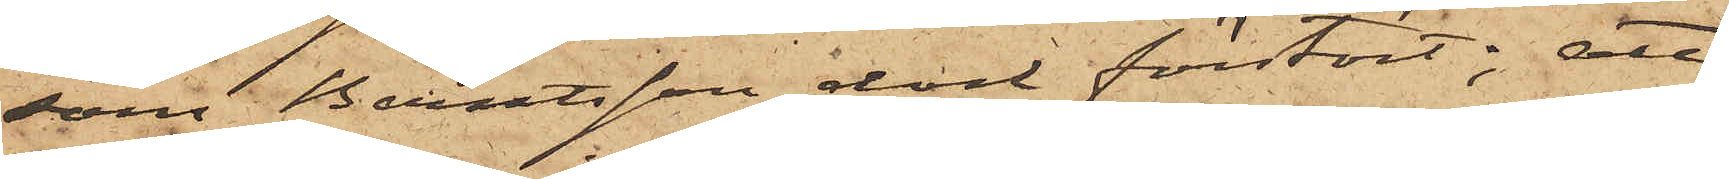som Berntsson dock förstört; att
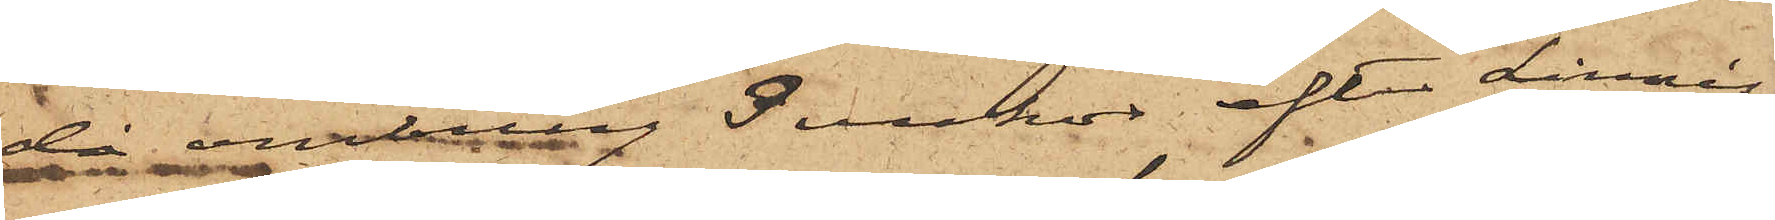då ombring 3 veckor efter Linnés
